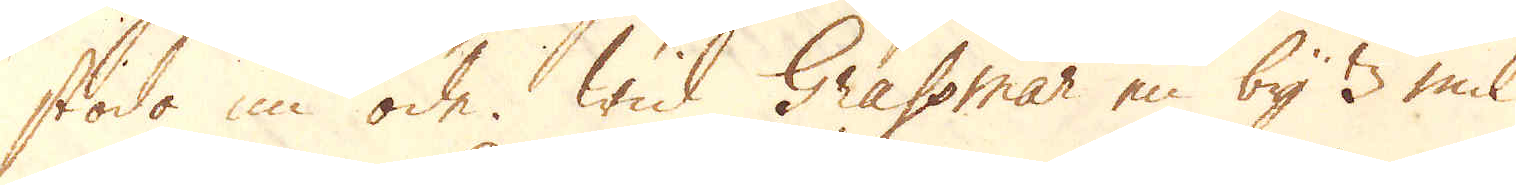stodo nu öde. Wid Grassmar en by 3 mil 
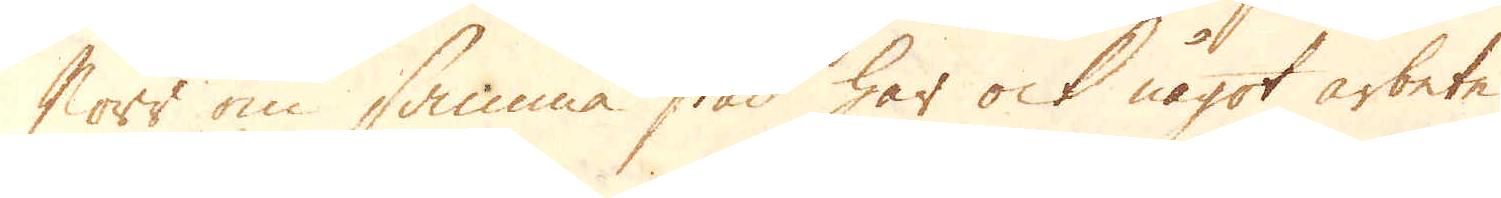Norr om samma stad har ock något arbete
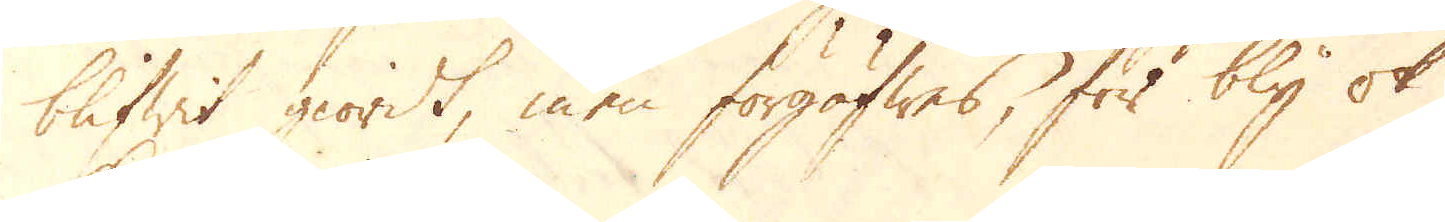blifwit giordt, men förgäwes, för bly ok
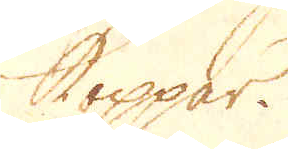koppar.
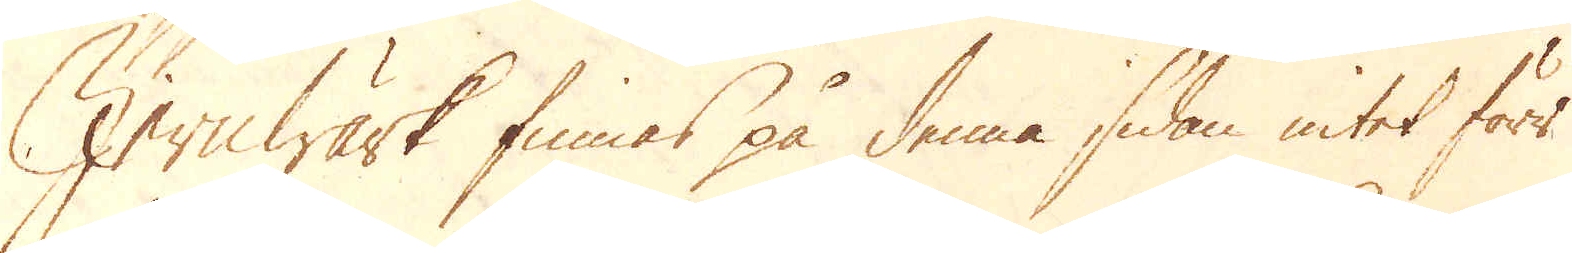Jernwärk finnes på denna sidan intet förr
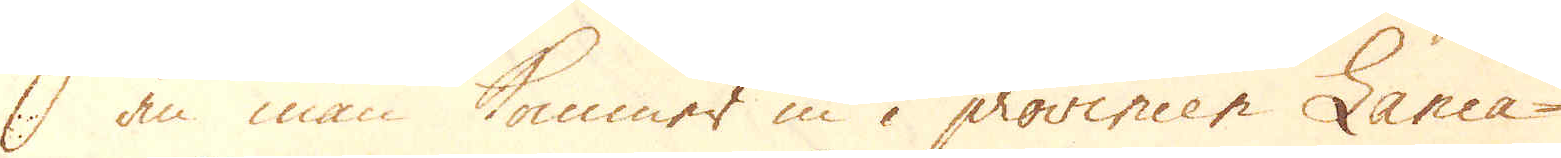än man kommer in i provincen Lanca-
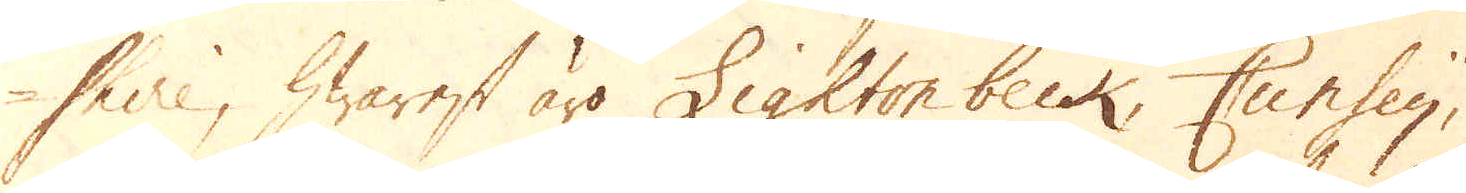shire, hwarest äro Lighton beck, Cunsey,
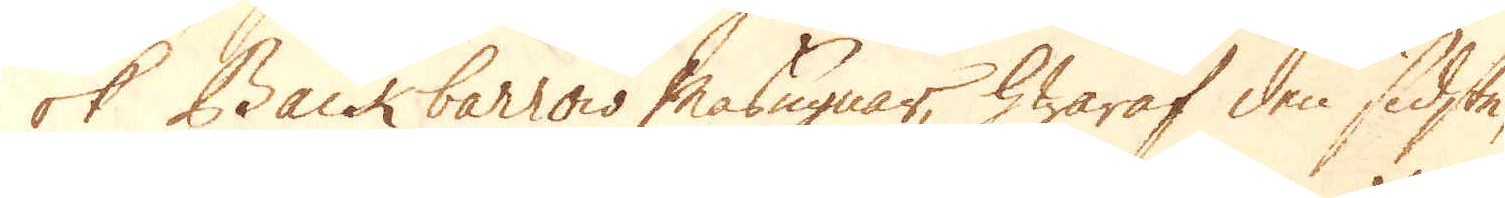ok Backbarrow Masugnar, hwaraf den sidste,
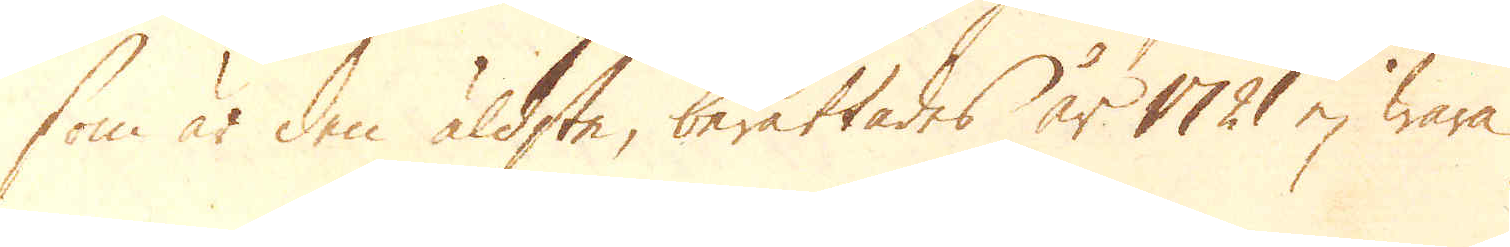som är den äldste, berättades år 1721 ej vara
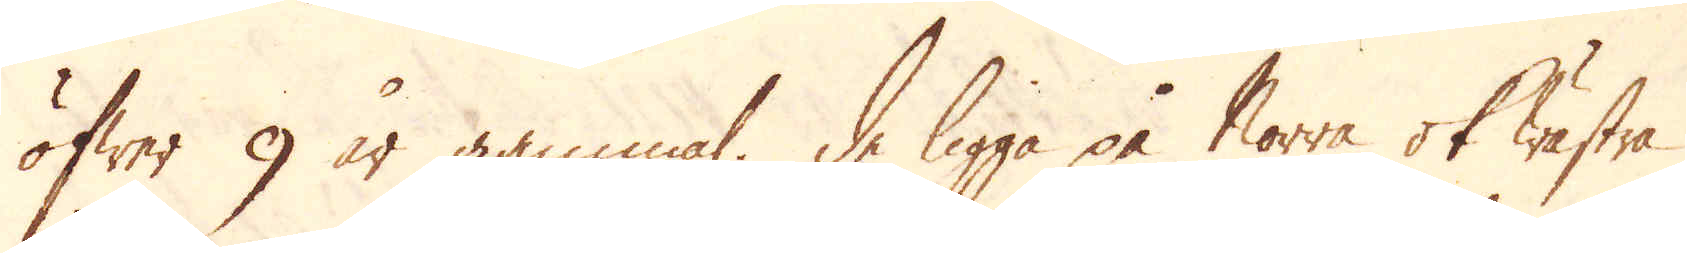öfwer 9 år gammal. De legga på Norra ok Wästra
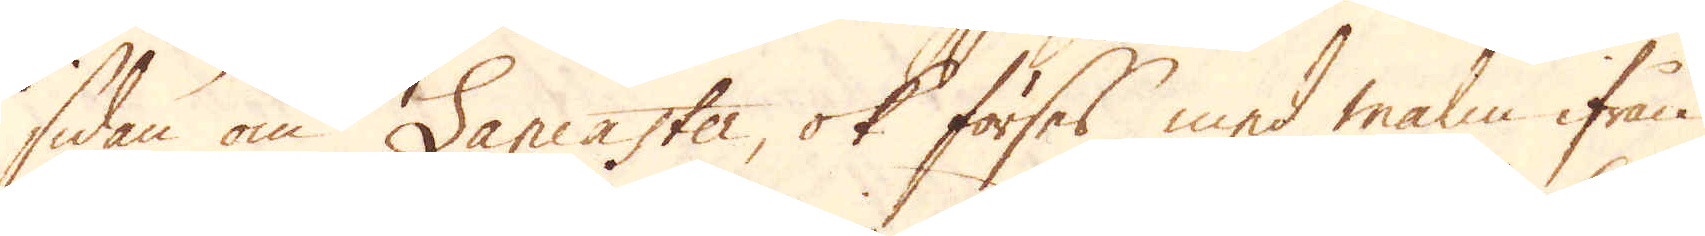sidan om Lancaster, ok förses med malm ifrån
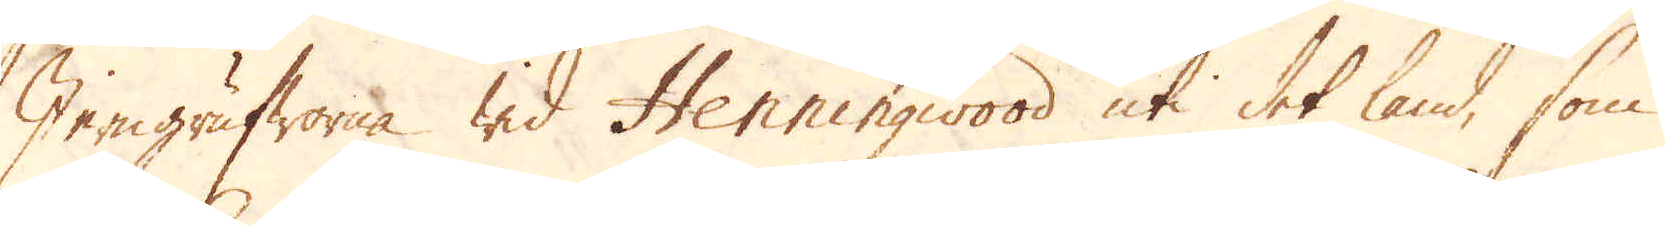Jerngrufworna wid Henningwood uti det land, som
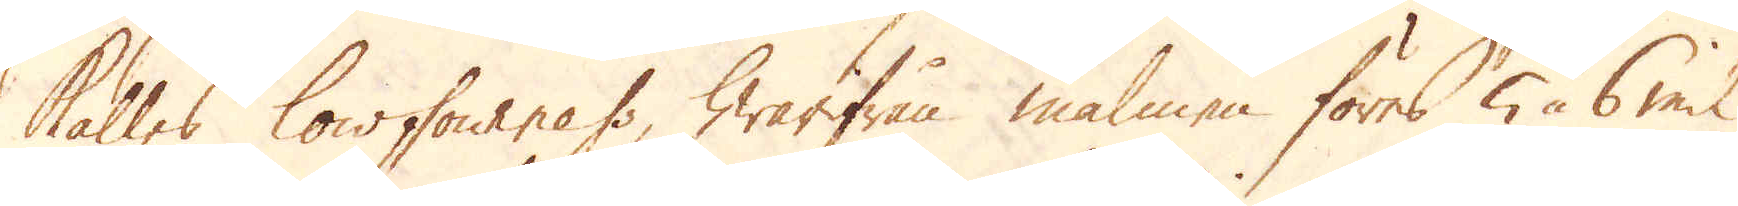kallas lowfowness hwarifrån malmen föres 5 à 6 mil
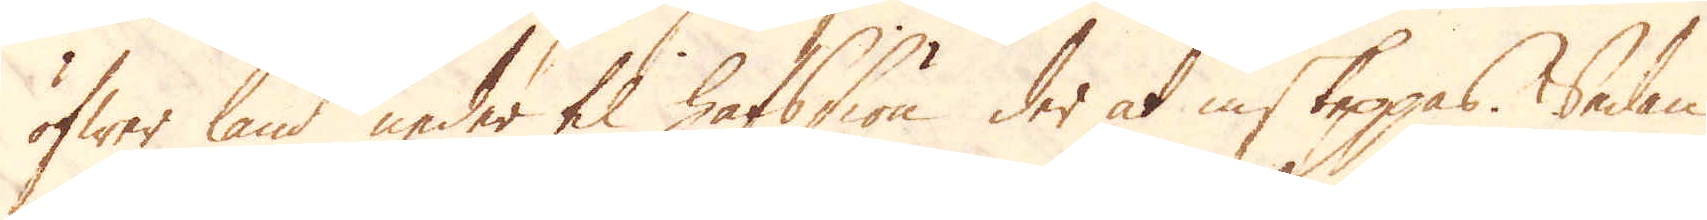öfwer land neder til hafsiön der at inskeppas. Sedan
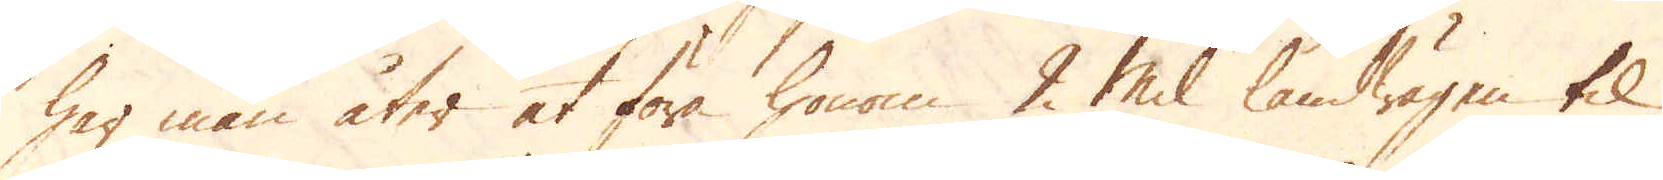har man åter at föra honom 2 Mil landwägen til
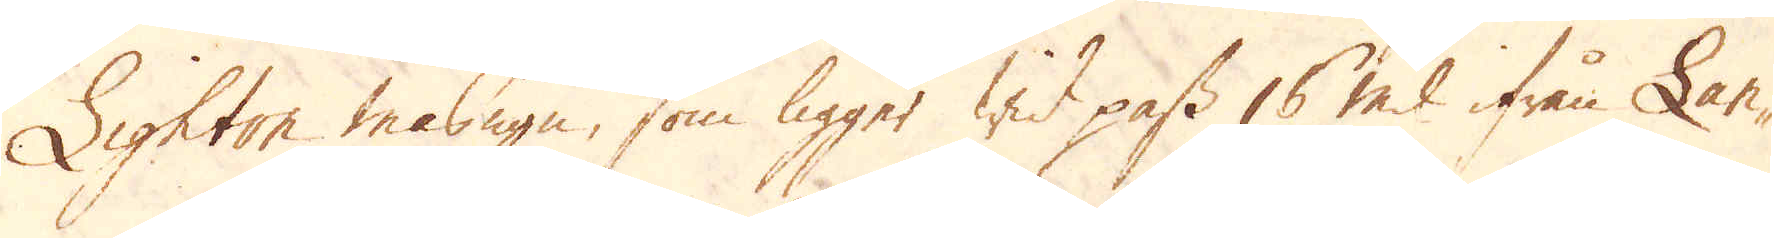Lighton masugn, som ligger wid pass 16 mil ifrån Lan-
